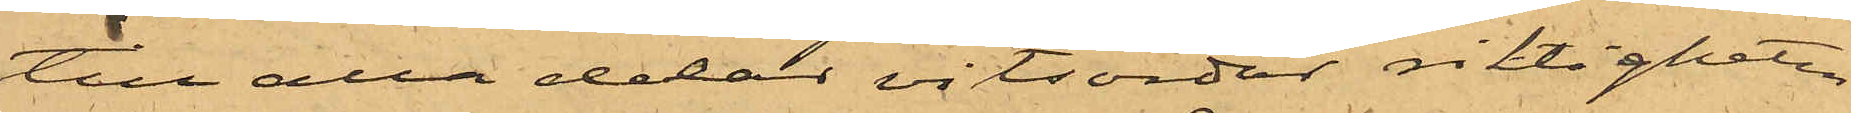till alla delar vitsordat riktigheten
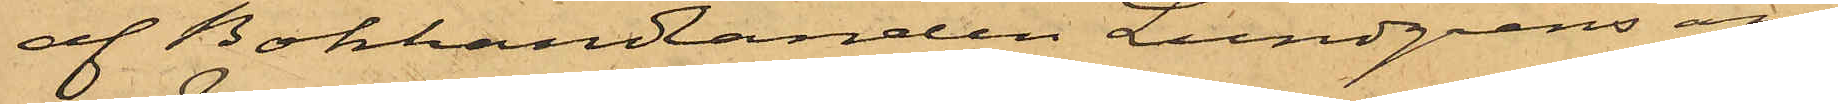af Bokhandlanden Lundgrens an¬
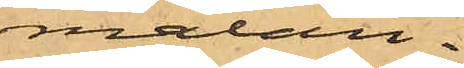mälan.
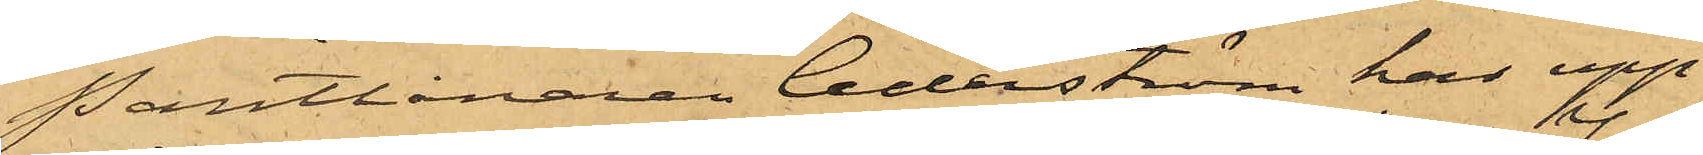Pantlånaren Cederström har upp¬
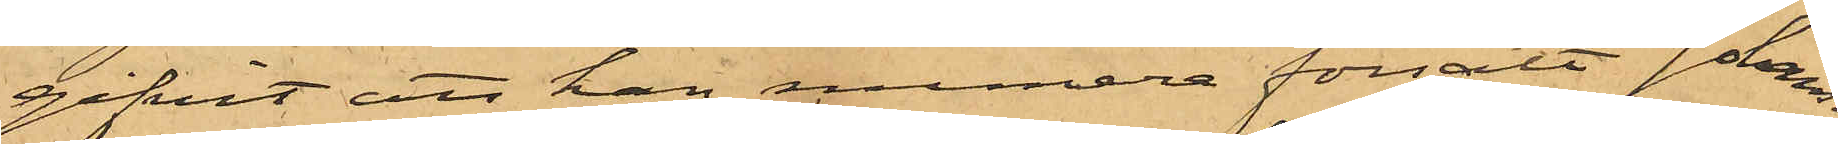gifvit att han numera försålt Johan¬
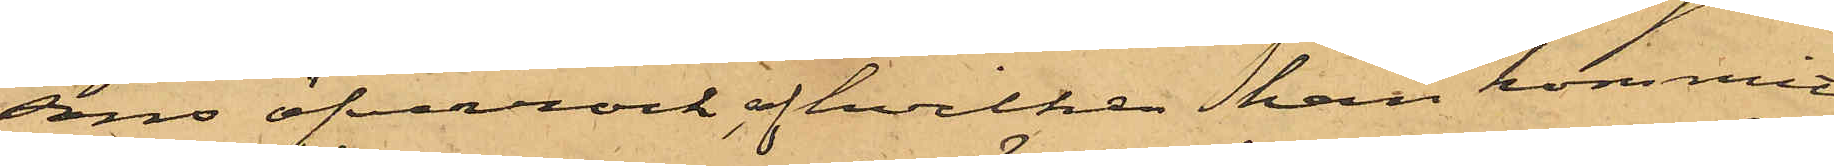sons öfverrock, af hvilken han kommit
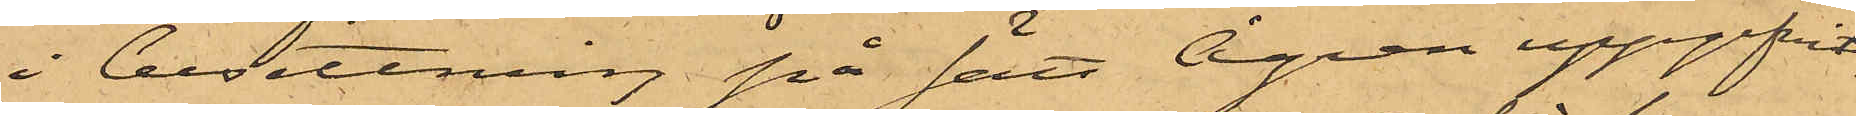i besittning på sätt Ågren uppgifvit.
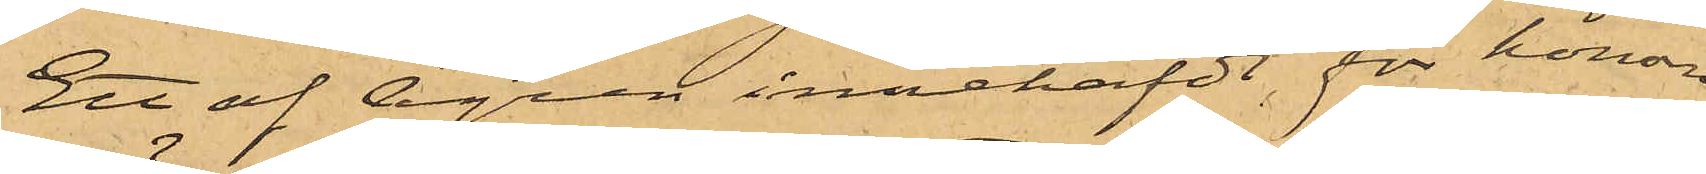Ett af Ågren innehafdt för honom
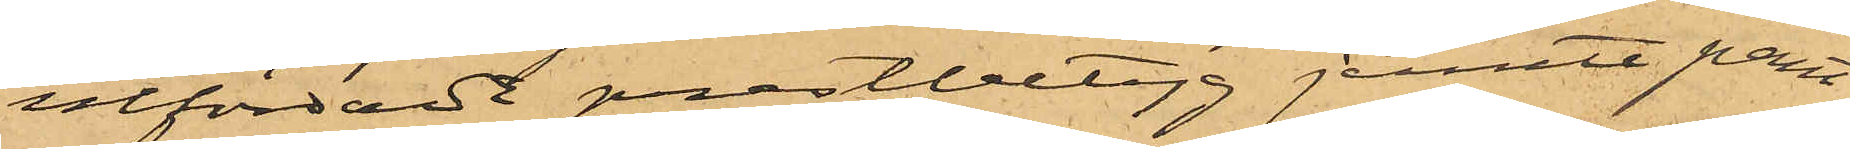utfärdadt prestbetyg jemte pant¬
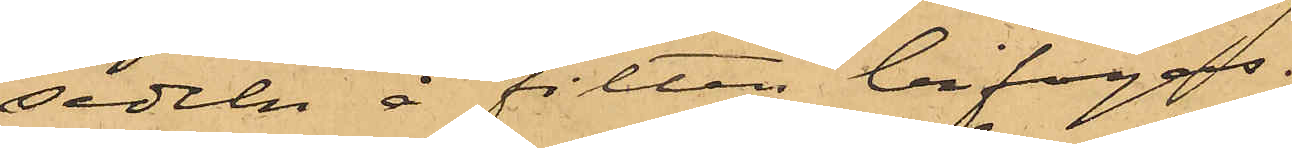sedeln å filten bifogas.
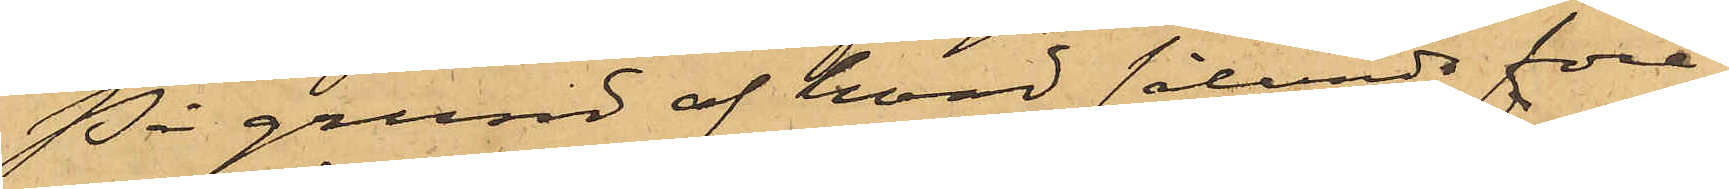På grund af hvad sålunda före¬
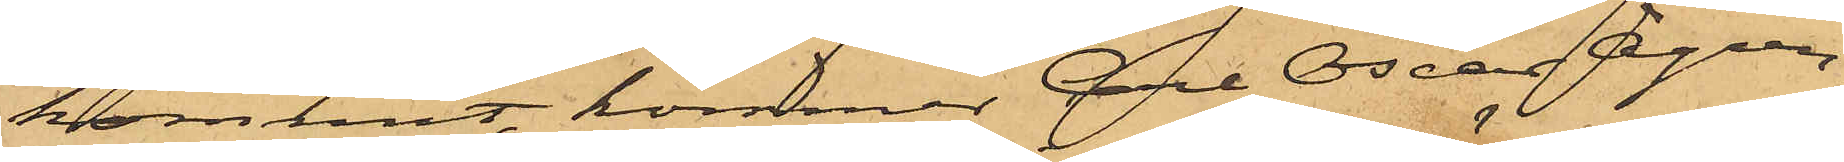kommit, kommer Carl Oscar Ågren,
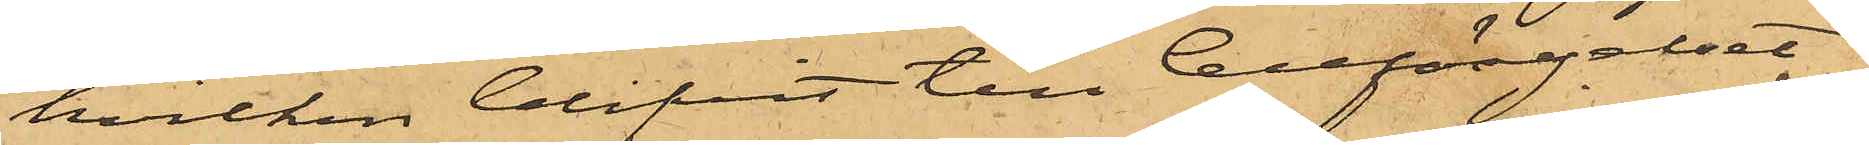hvilken blifvit till Cellfängelset
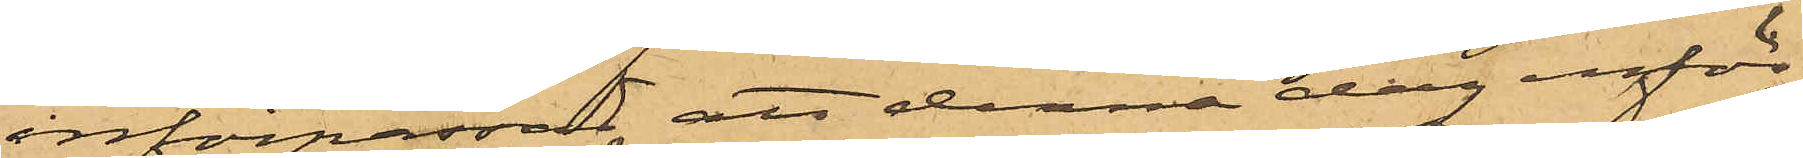införpassad att denna dag inför
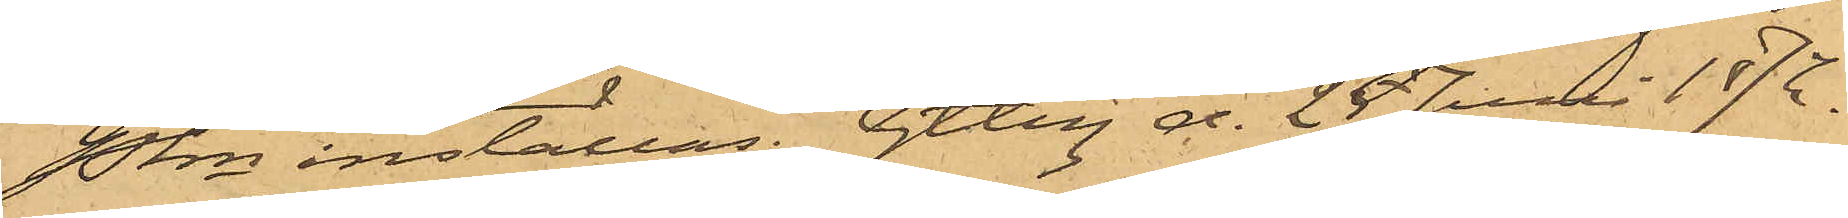Pkn inställas. Gtbg d. 25 Juli 1872.
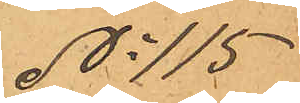No 115
